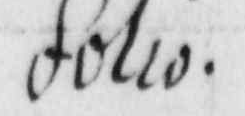folio
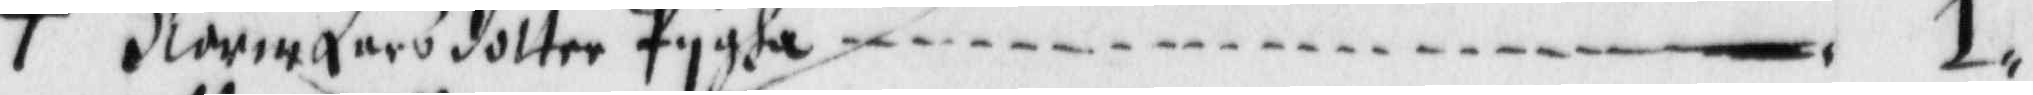+ Karin Larsdotter Pygha — 1.
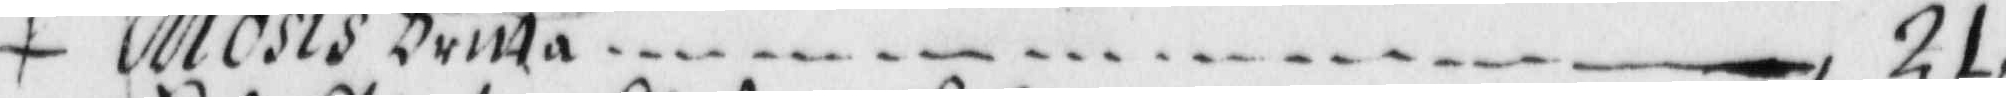+ Mosis Britta — 21.
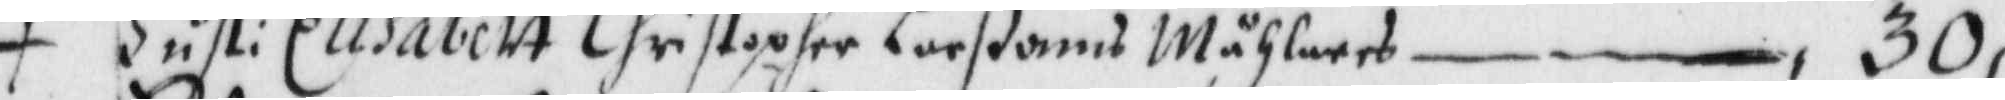+ Hust: Elisabett Christopher Larßons Måhlares — 30,
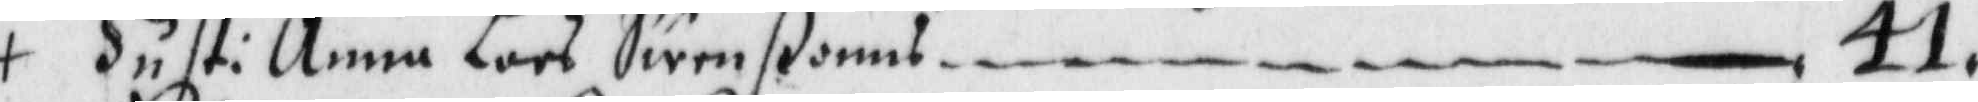+ Hust: Anna Lars Swenßons — 41,
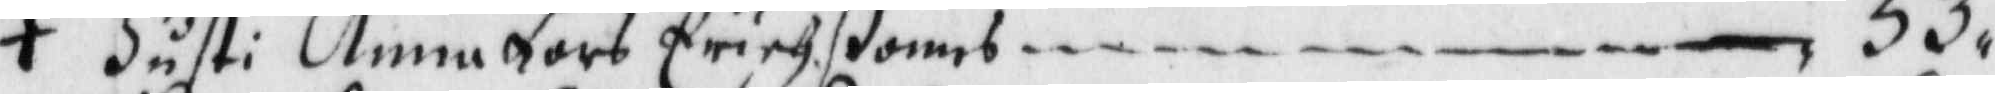+ Hust: Anna Lars Erichßons — 53,
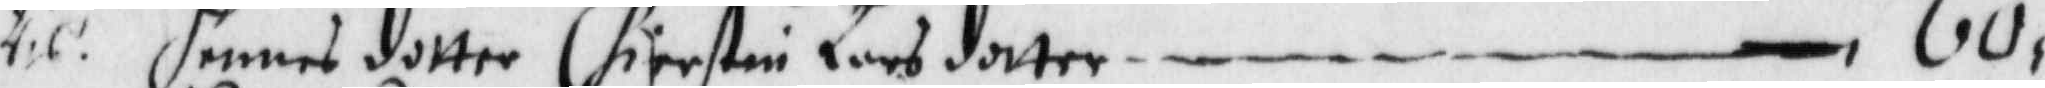ris. hennes dotter Chierstin Larsdotter — 60
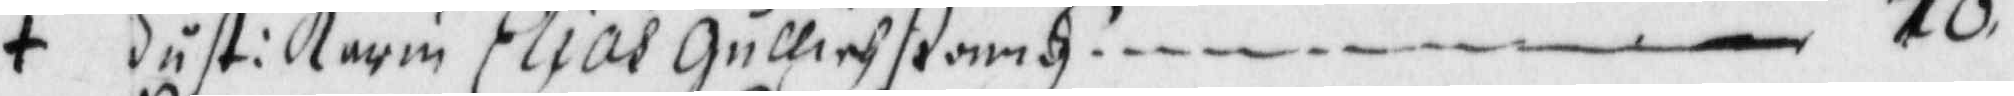+ Hust: Karin Elias Gullichßonns — 70
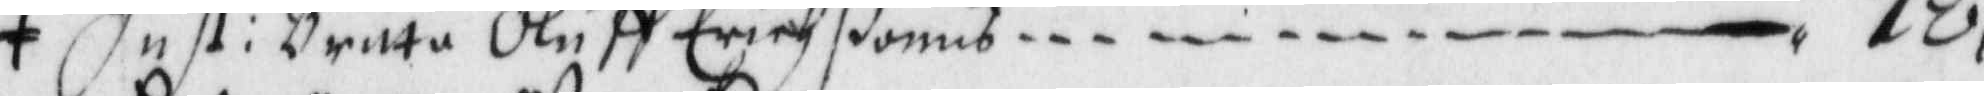+ Hust: Britta Oluff Erichßonns — 72
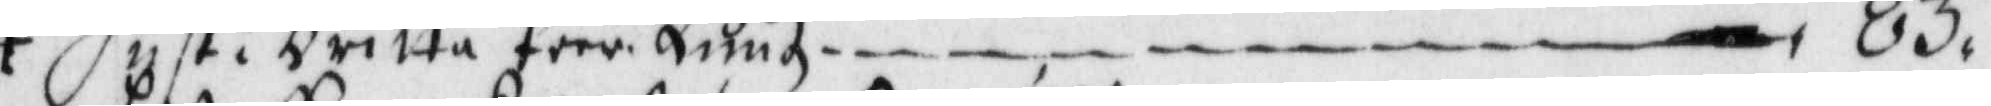+ Hust: Britta Peer Luuz — 83,
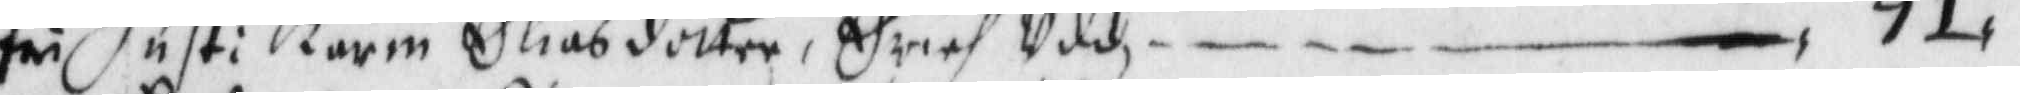fri Hust: Karin Eliasdotter, Erich Uddz — 91
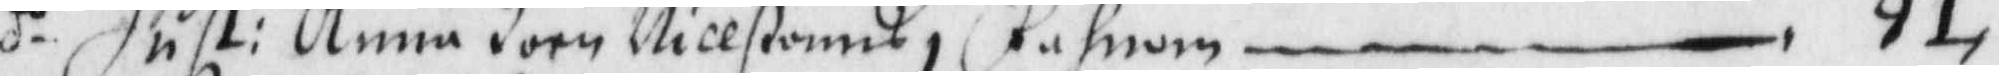d.o Hust: Anna Joen Nillßonns i fahnom — 91,
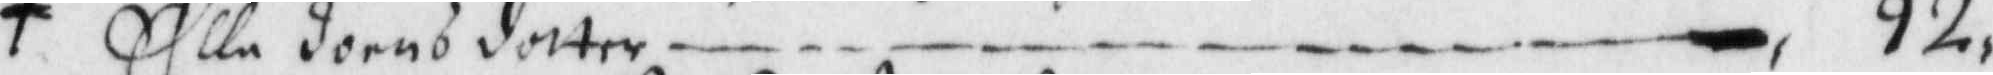+ Ella Jöens dotter — 92,
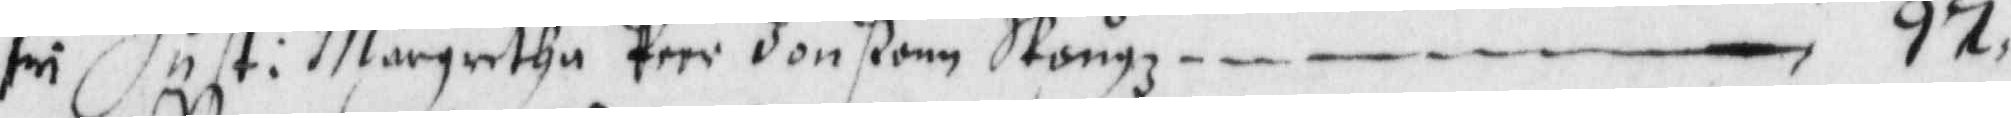fri Hust: Margretha Peer Jonßonn Skångz — 97,
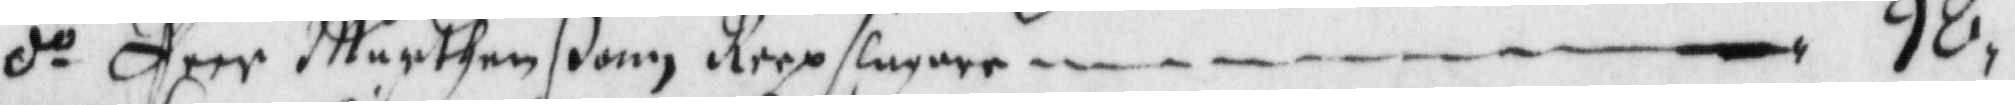d.o Peer Mårthenßonn Reepslagaren — 98,
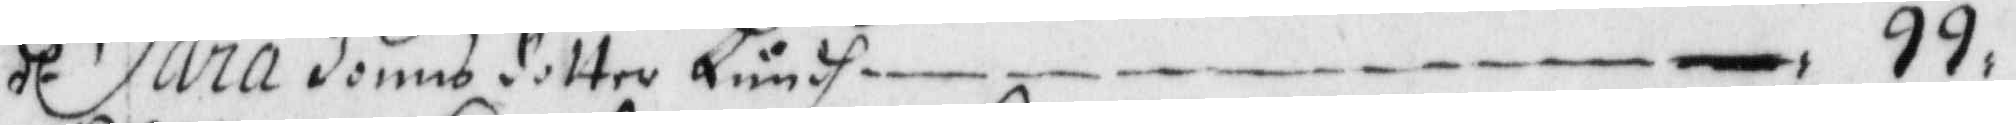d.o Sara Jonns dotter Lundh — 99,
